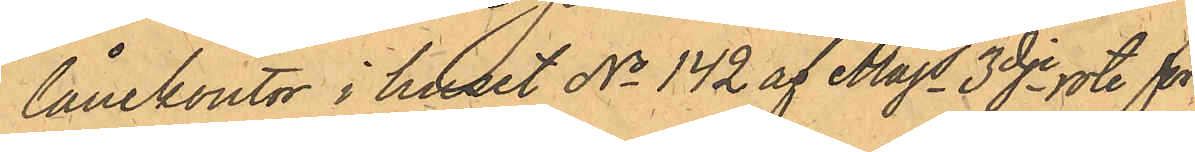lånekontor i huset No 142 af Majs 3dje rote för
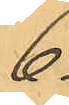6
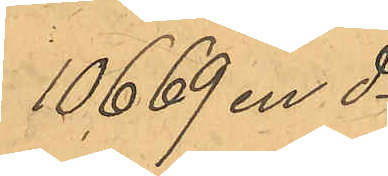10669 en do
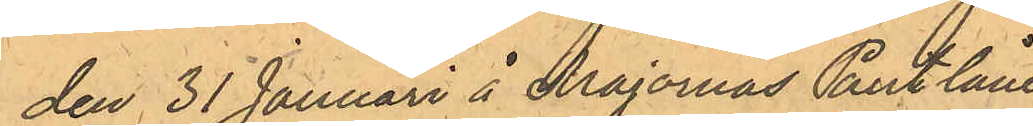den 31 Januari å Majornas Pantlåne¬
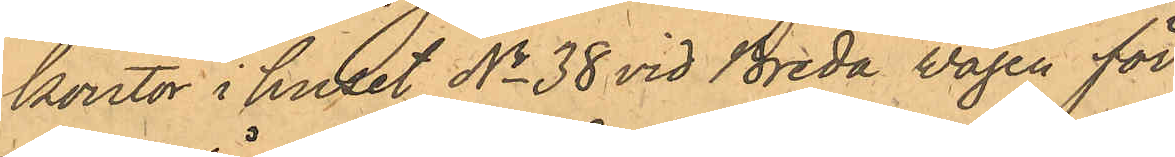kontor i huset No 38 vid Breda Vägen för
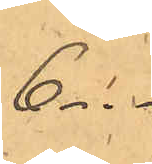6 -"-
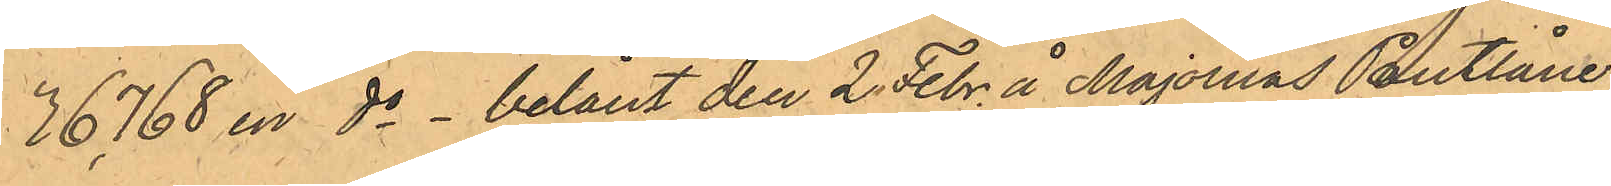36768 en do - belånt den 2 Febr. å Majornas Pantlåne¬
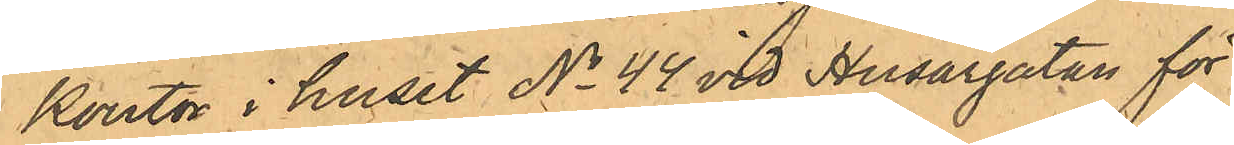Kontor i huset No 44 vid Husargatan för
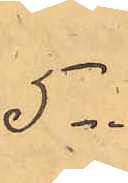5 -"-
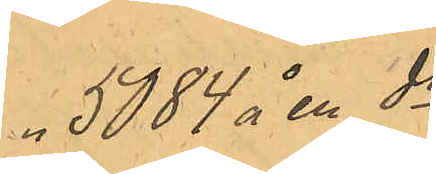" 5084 å en do 
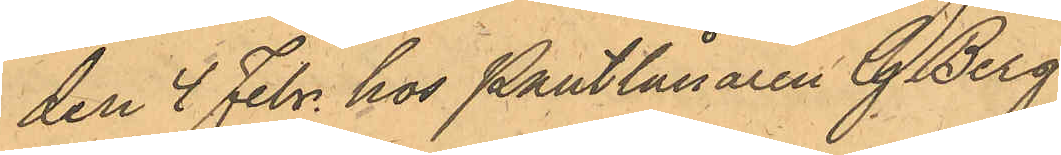den 4 Febr. hos Pantlånaren G. Berg¬
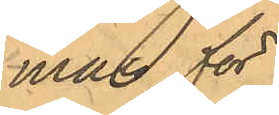man för
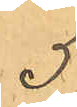5
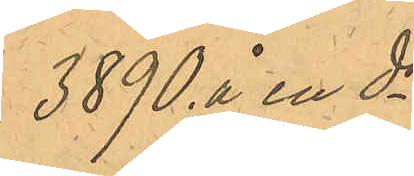3890 å en do
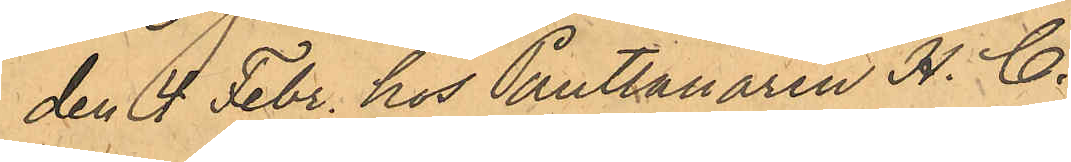den 4 Febr. hos Pantlånaren H. C.
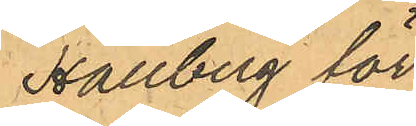Hallberg för
